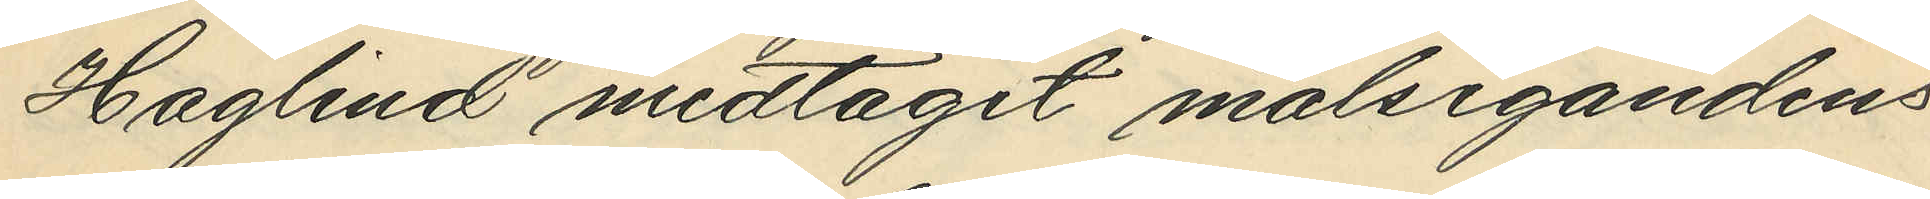Haglind medtagit målsegandens
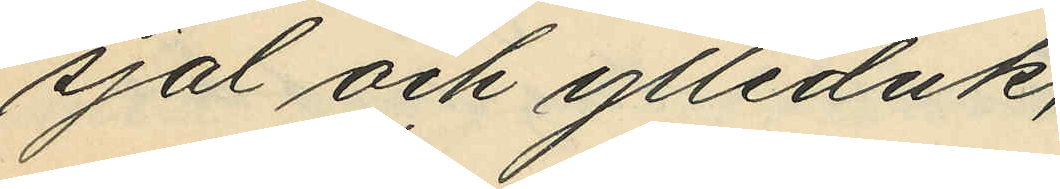sjal och ylleduk,
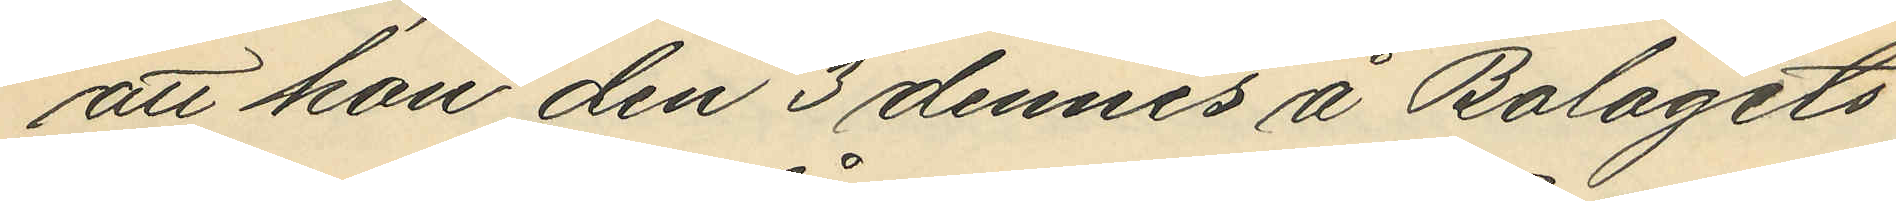att hon den 3 dennes å Bolagets
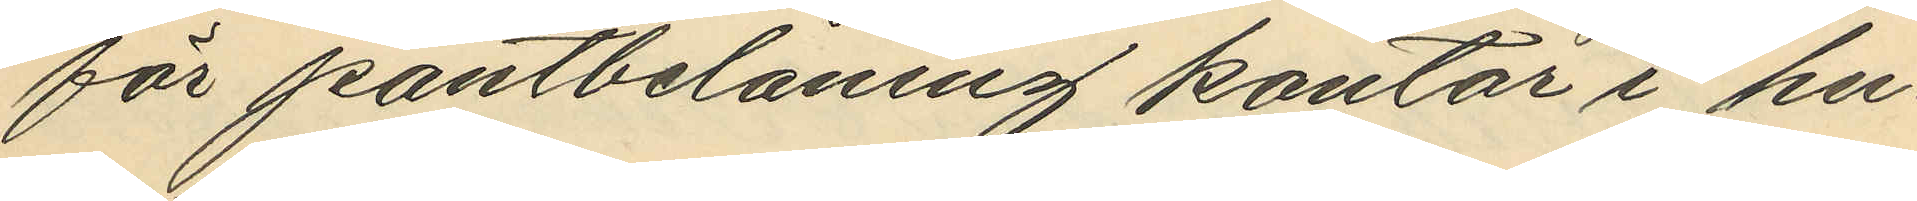för pantbelåning kontor i hu¬
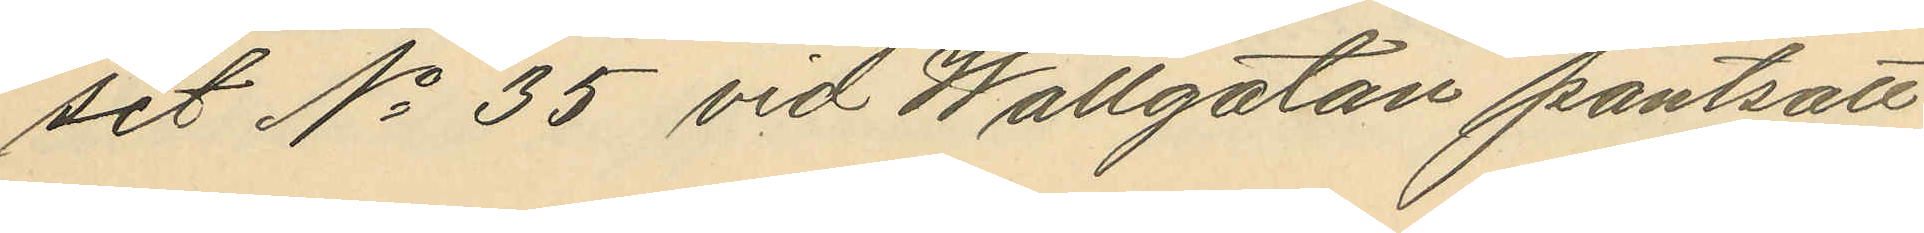set No 35 vid Wallgatan pantsatt
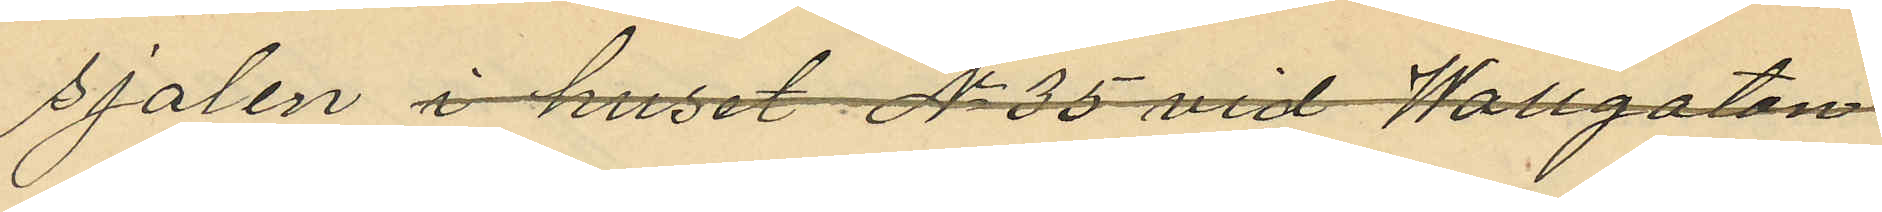sjalen i huset No 35 vid Wallagatan
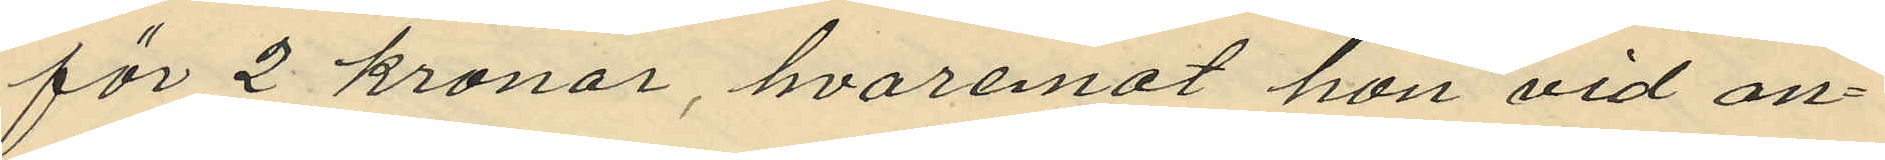för 2 kronor, hvaremot hon vid an¬
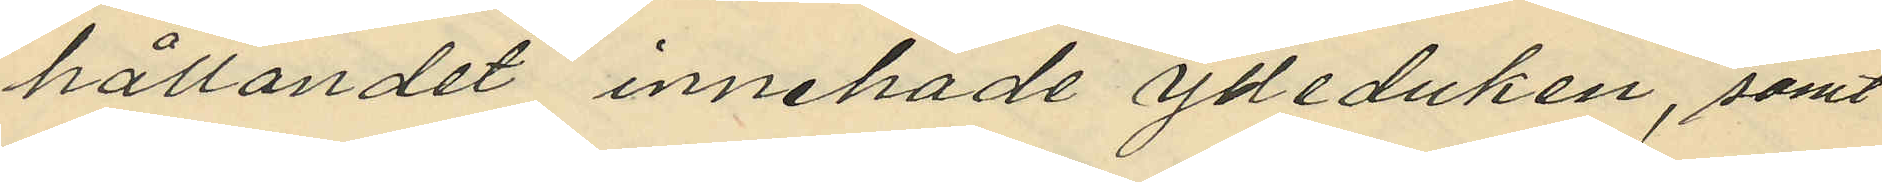hållandet innehade ylleduken, samt
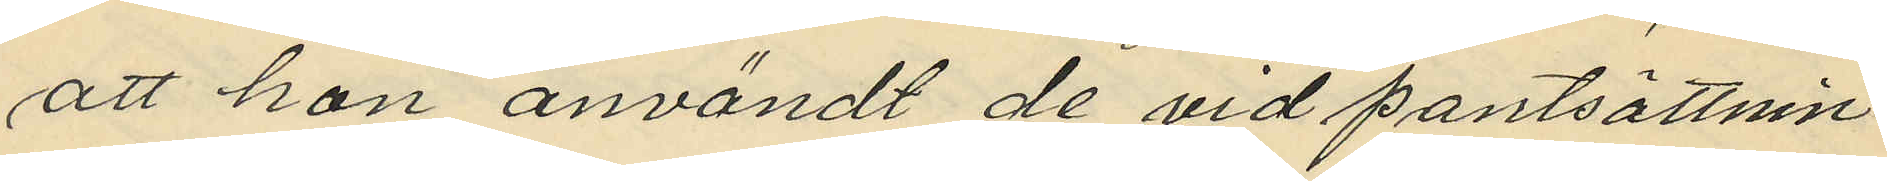att hon användt de vid pantsättnin¬
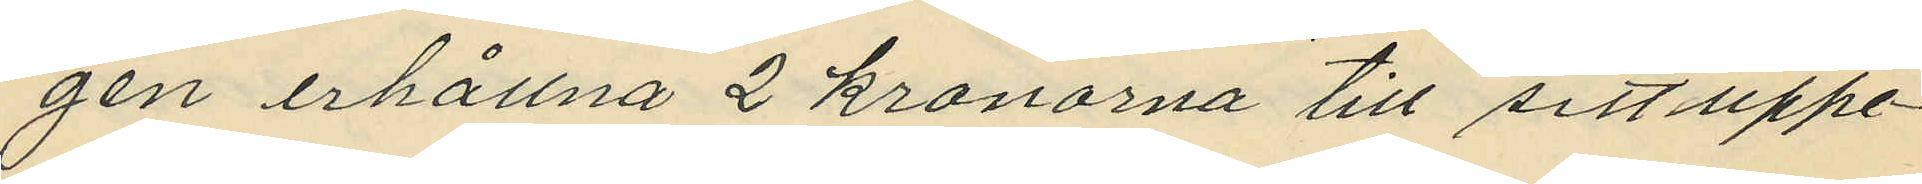gen erhållna 2 kronorna till sitt uppe¬
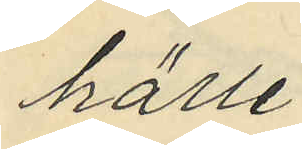hälle.
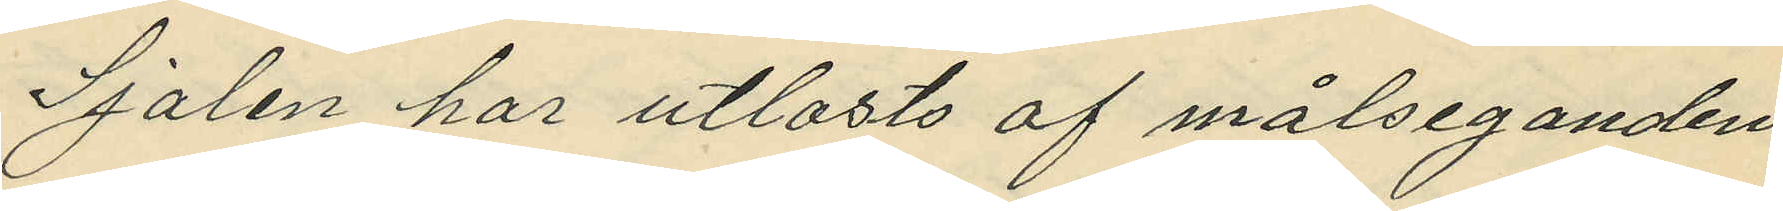Sjalen har utlosts af målseganden,
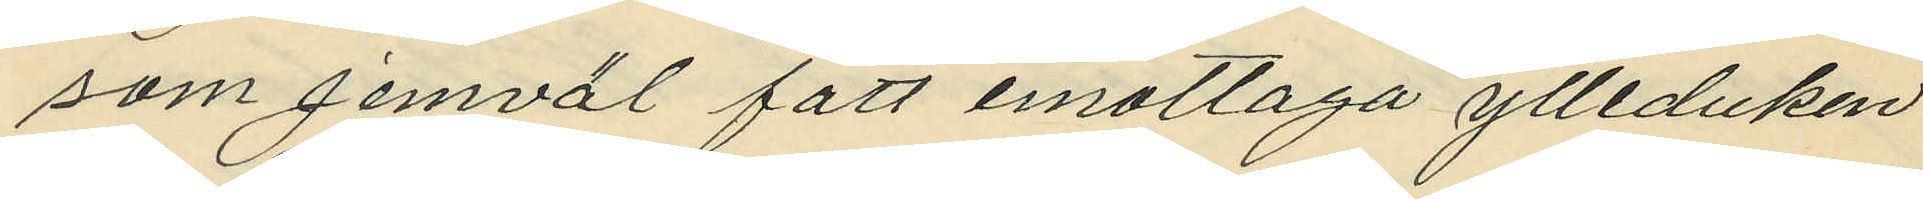som jemväl fått mottaga ylleduken.
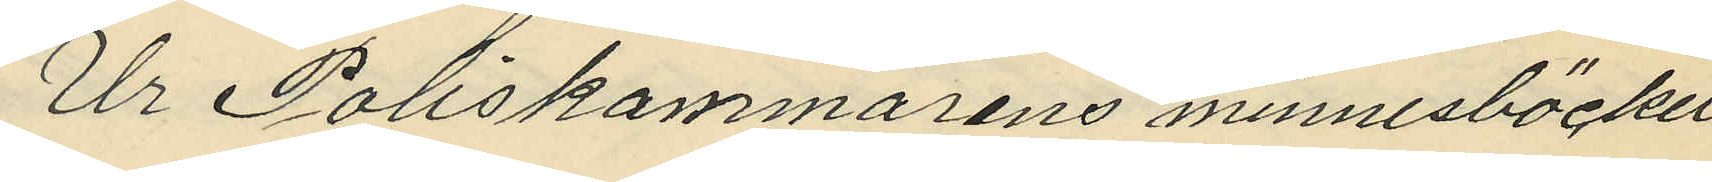Ur Poliskammarens minnesböcker
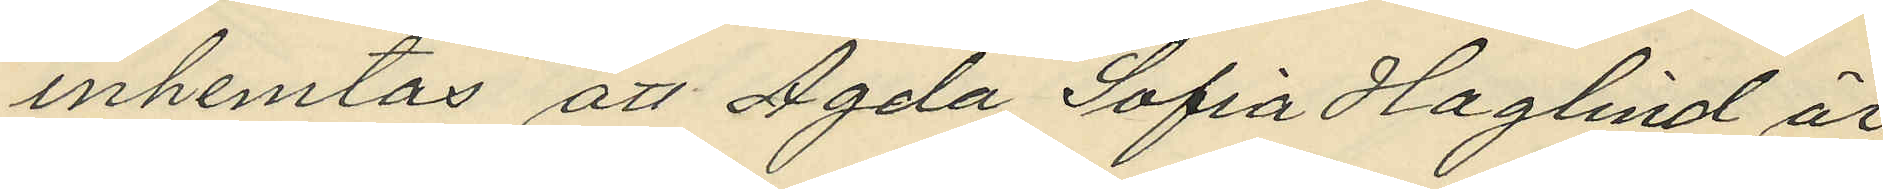inhemtas att Agda Sofia Haglind är
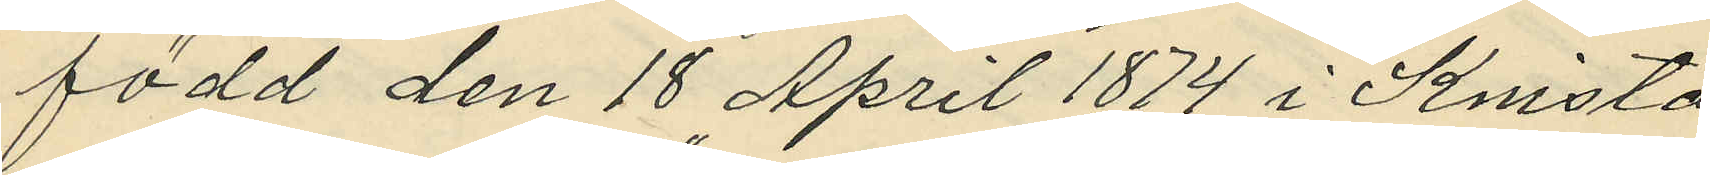född den 18 April 1874 i Knista
